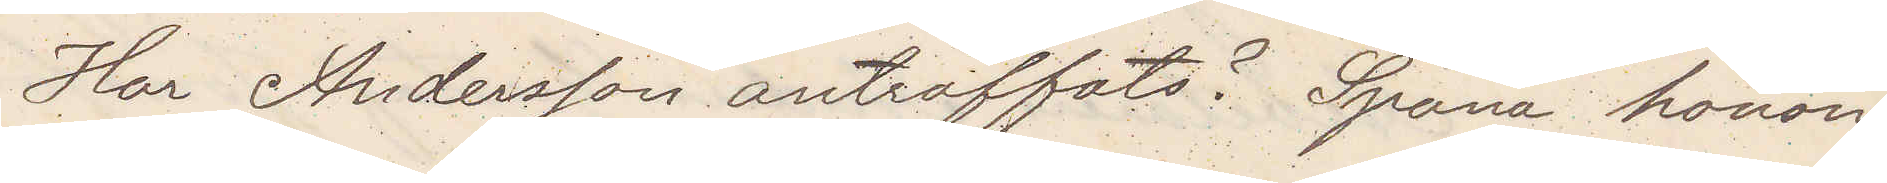Har Anderson anträffats? Spana honom
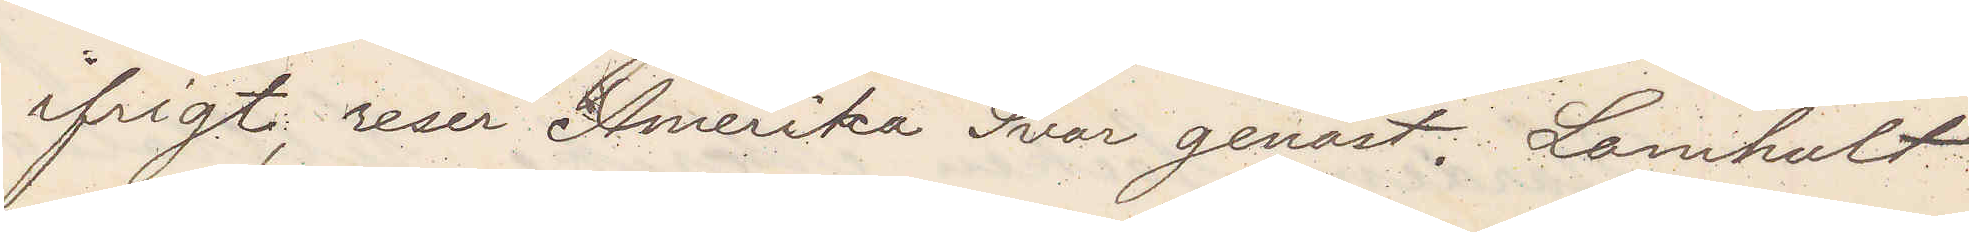ifrigt, reser Amerika Svar genast, Lamhult
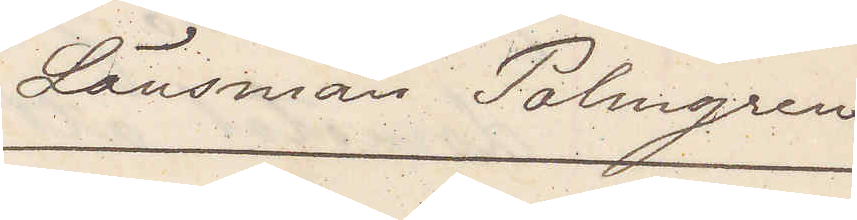Länsman Palmgren
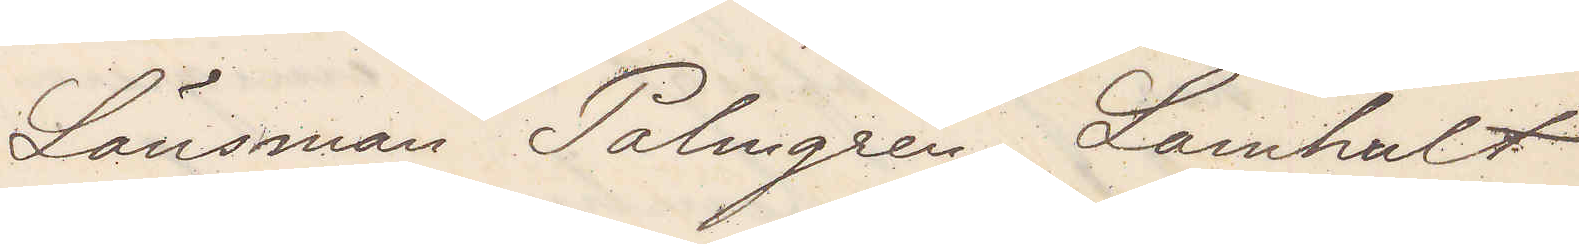Länsman Palmgren Lamhult
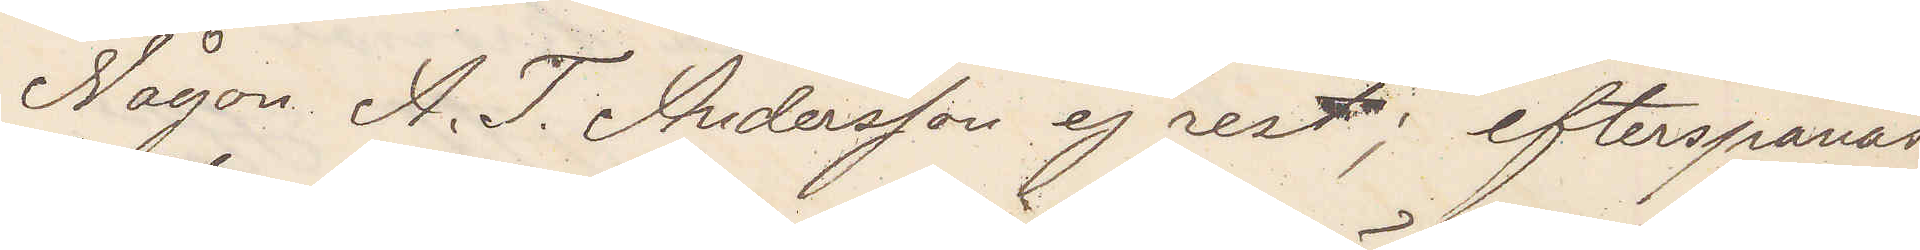Någon A. T. Andersson ej rest; efterspanas
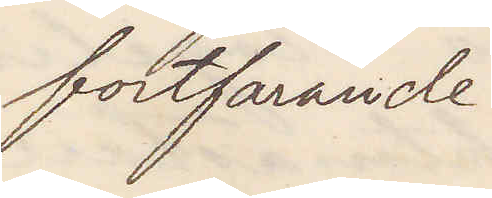fortfarande.
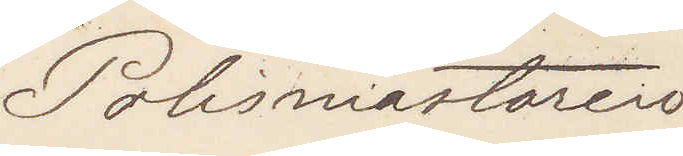Polismästaren
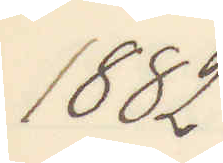1882
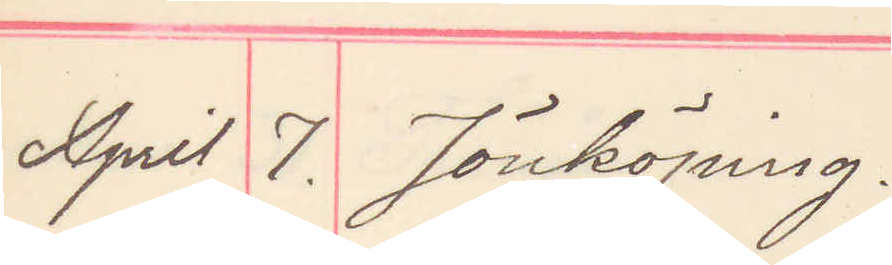April 7. Jönköping.
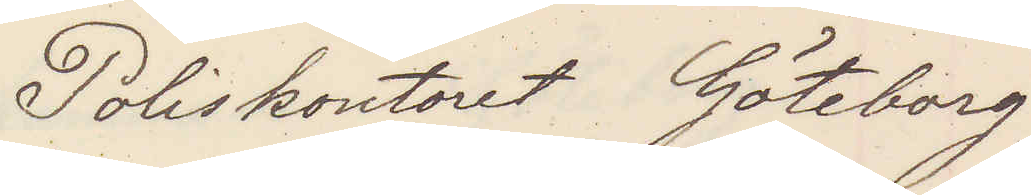Poliskontoret Göteborg
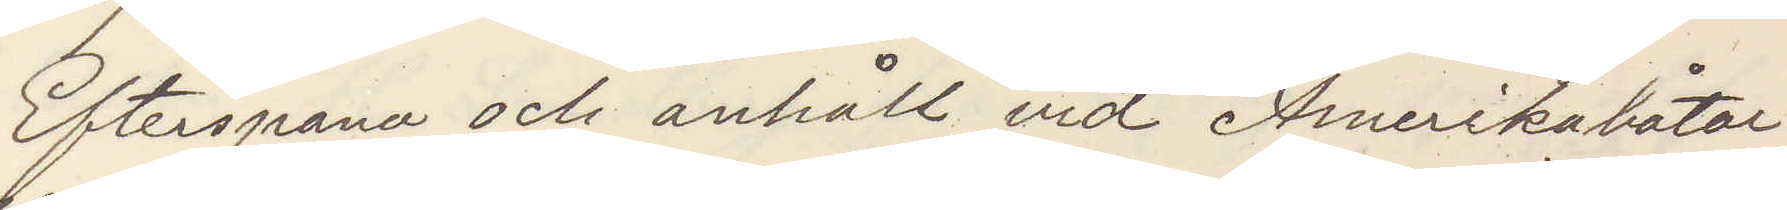Efterspana och anhåll vid Amerikabåtar
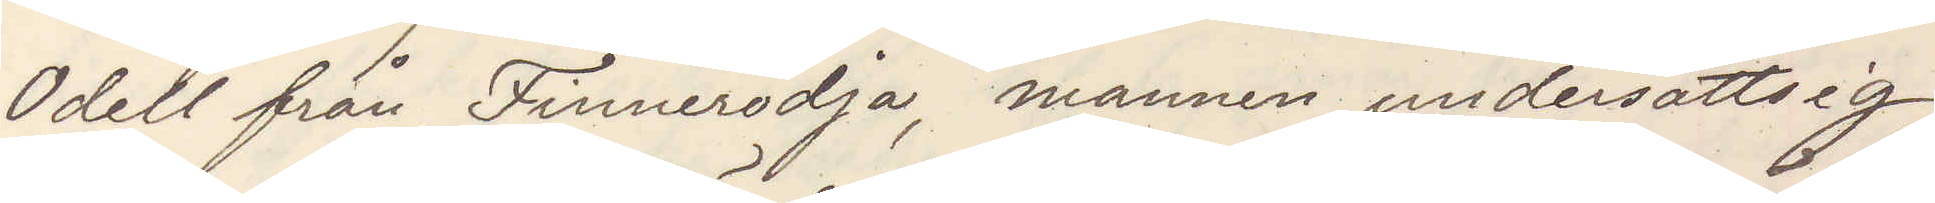Odell från Finnerödja, mannen undersätsig,
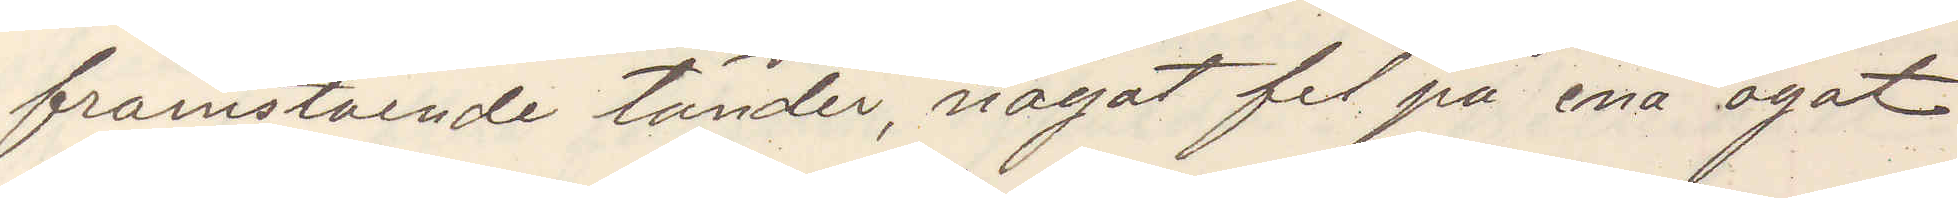framstående tänder, något fel på ena ögat
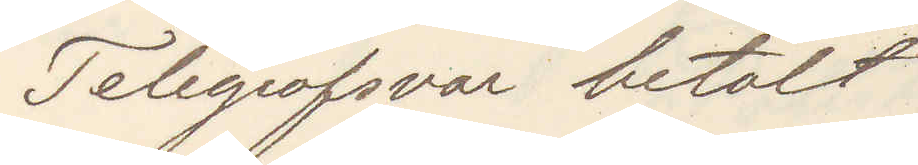Telegrafsvar betalt
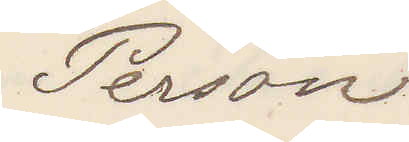Person
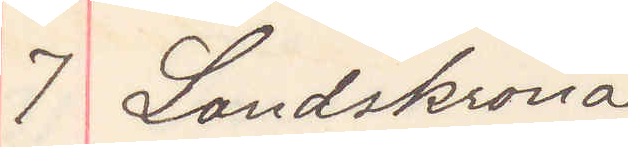7 Landskrona
